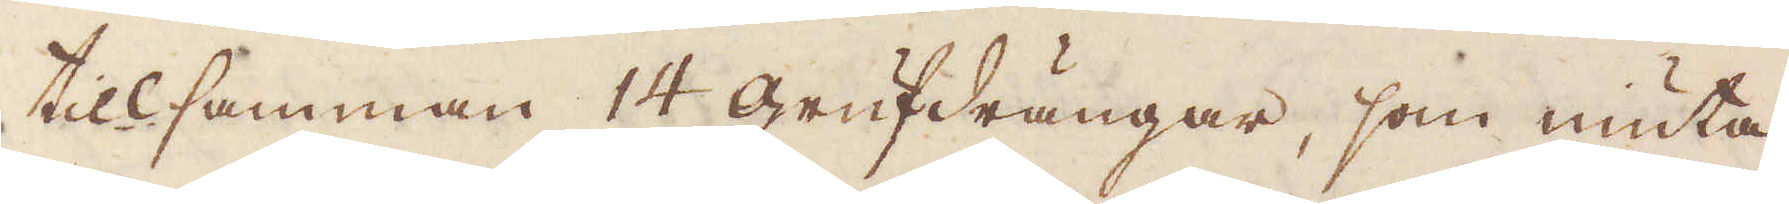tillsamman 14 grufdrängar, som niuta
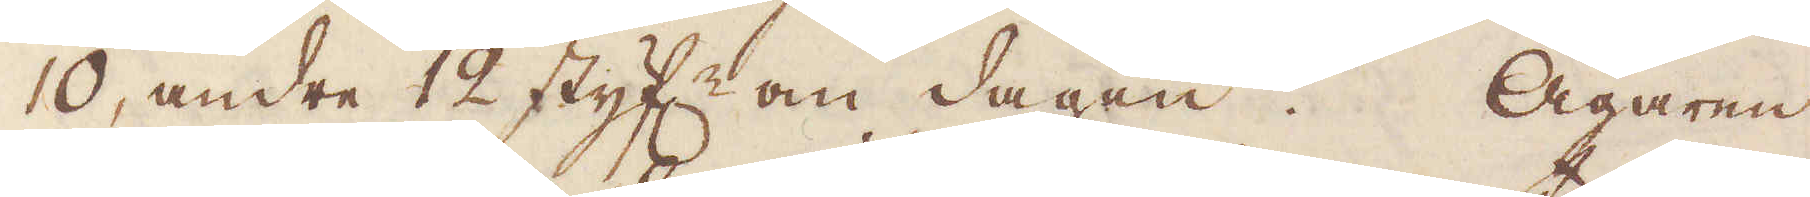10, andre 12 styf:r om dagen. Ägaren
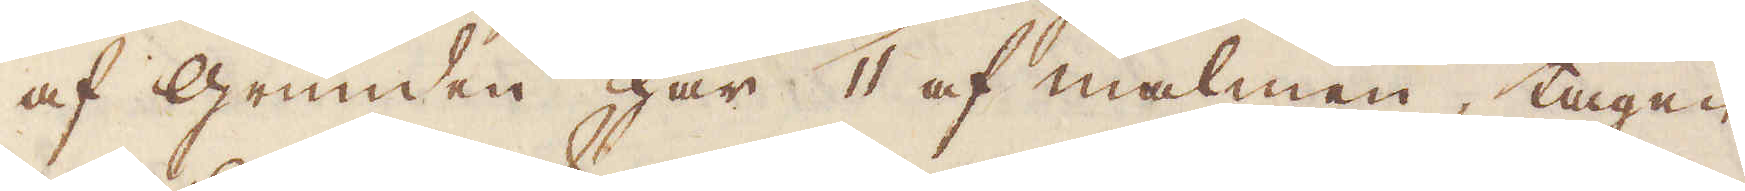af grunden har 11 af malmen, tagen
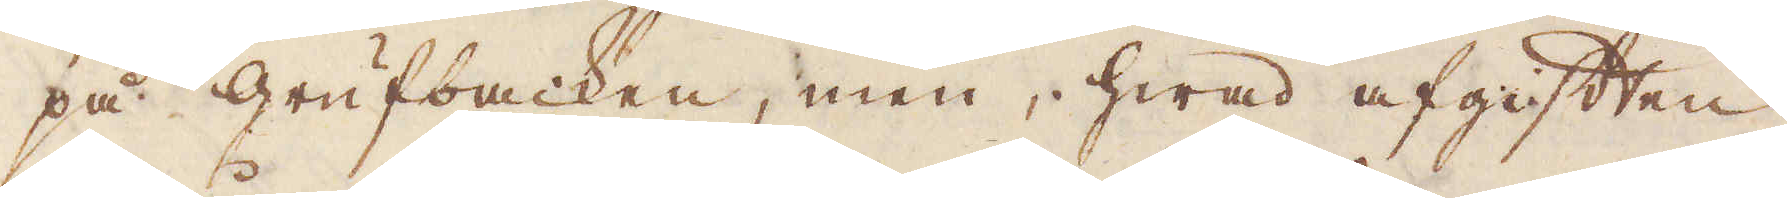på grufbacken, men hwad afgiften
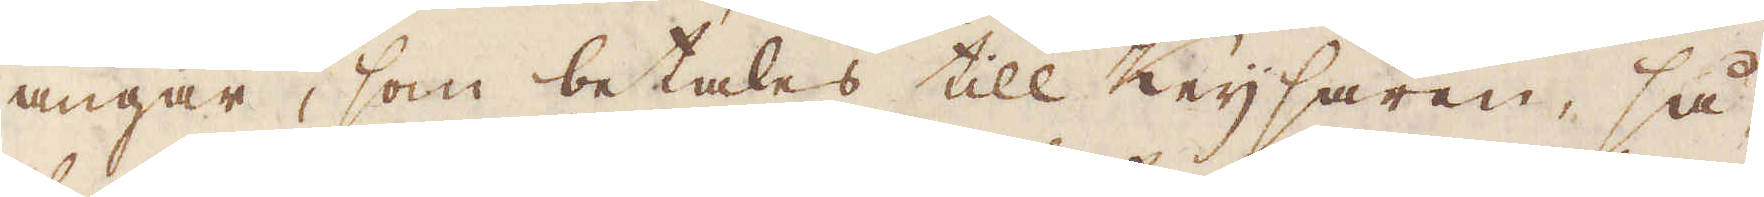angår, som betales till Keijsaren, så
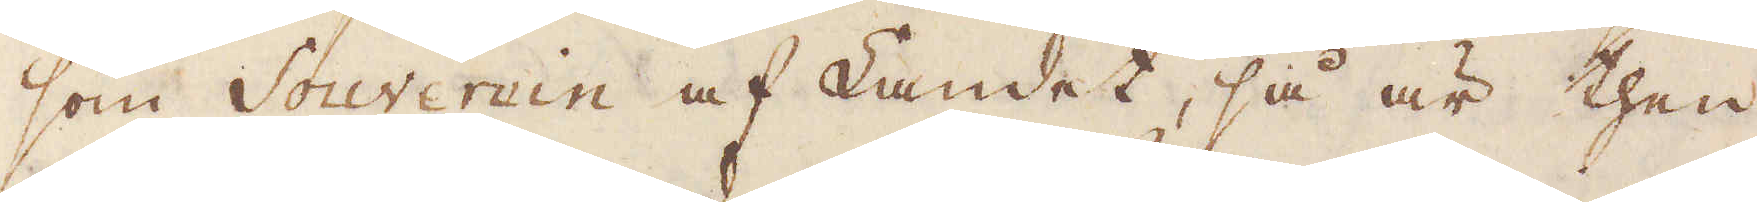som Souverein af Landet, så är then
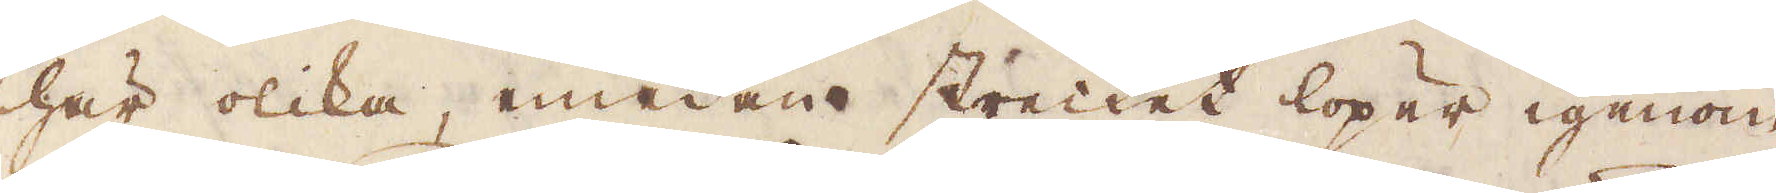här olika, medan strecket löper igenom
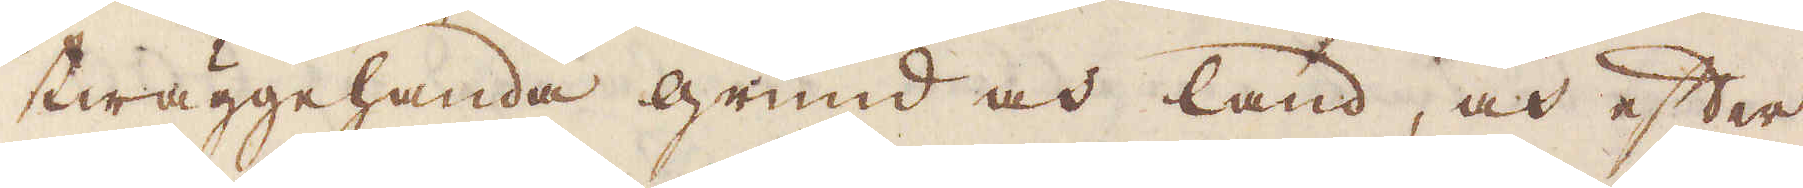twäggehanda grund och land, och efter
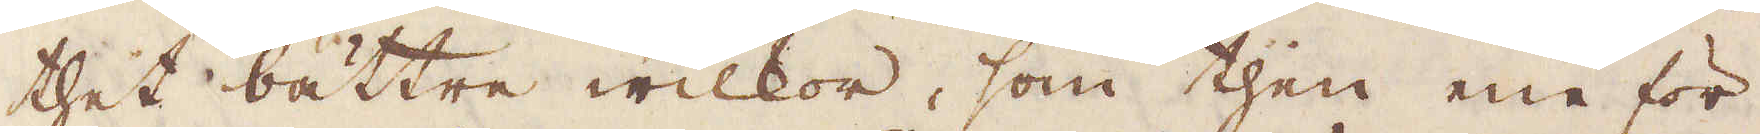thet bättre wilkor, som then ene för
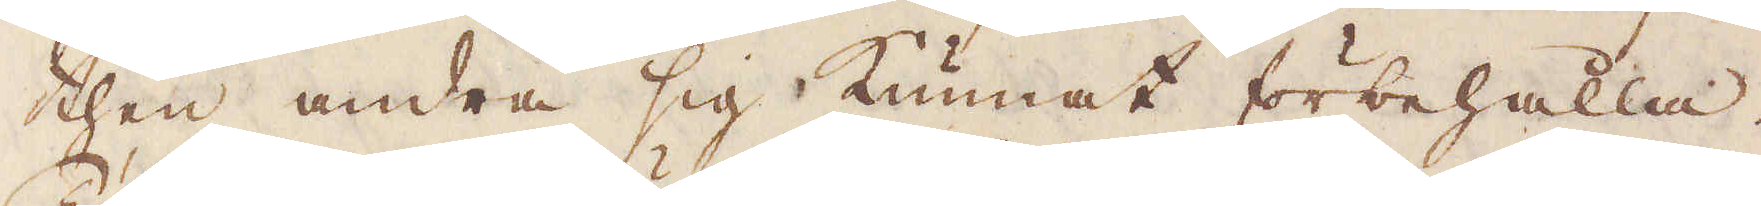then andra sig kunnat förbehålla.
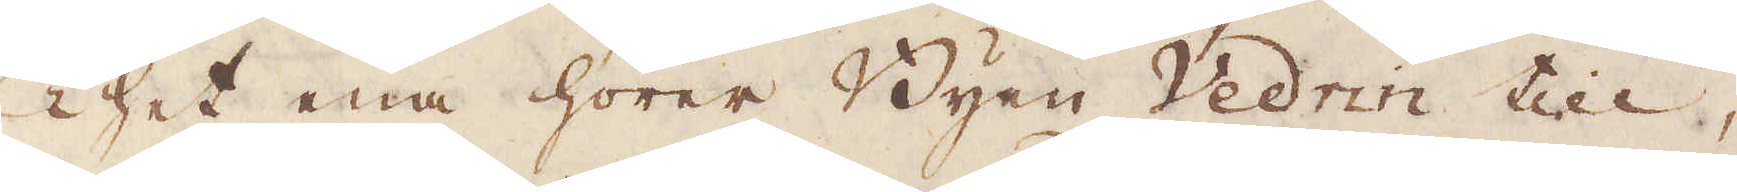Thet ena hörer Byen Vedrin till,
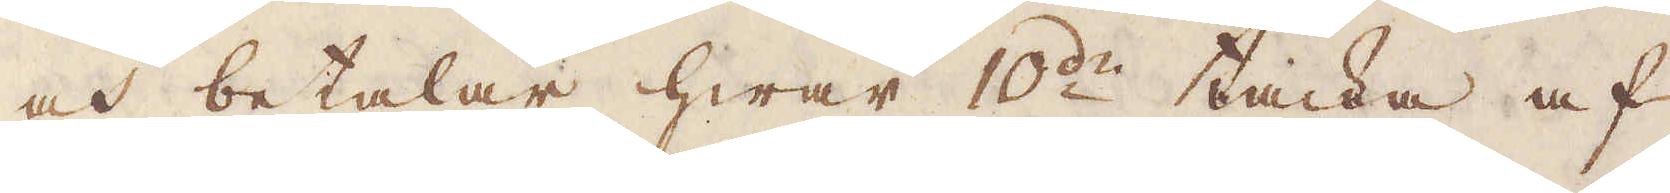och betalar hwar 10:de tacka af
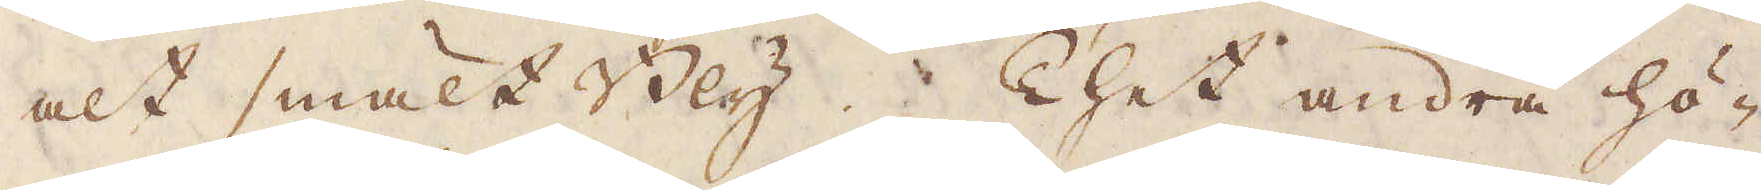alt smält Bly. Thet andra hö-
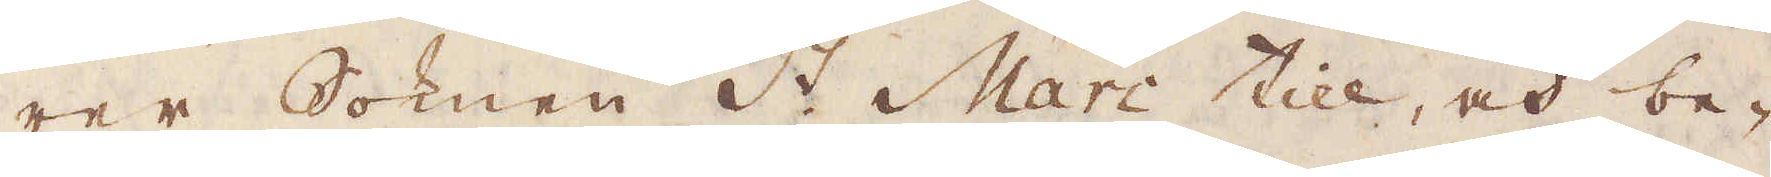rer Soknen S:t Marc till, och be-
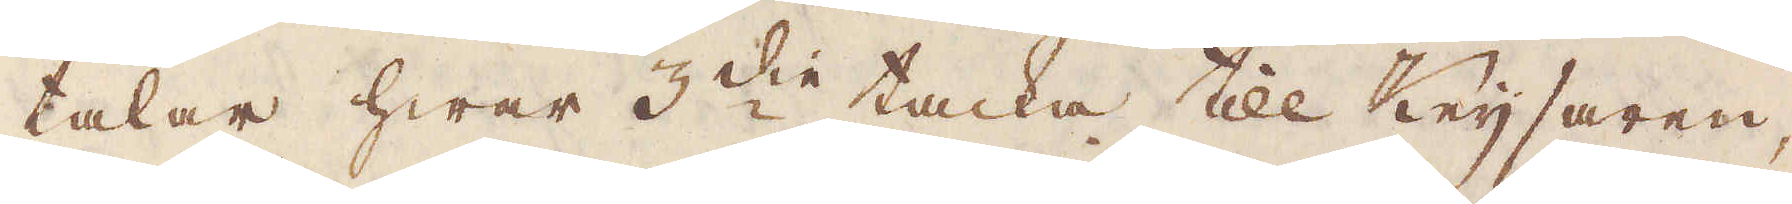talar hwar 3:die tacka till Keijsaren,
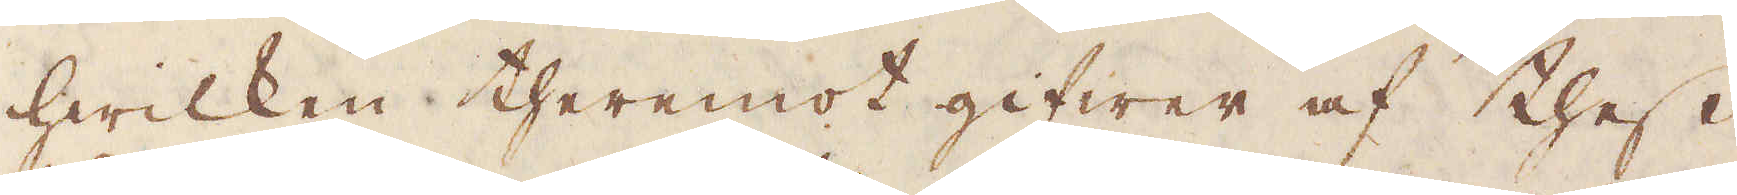hwilken theremot gifwer af thess
